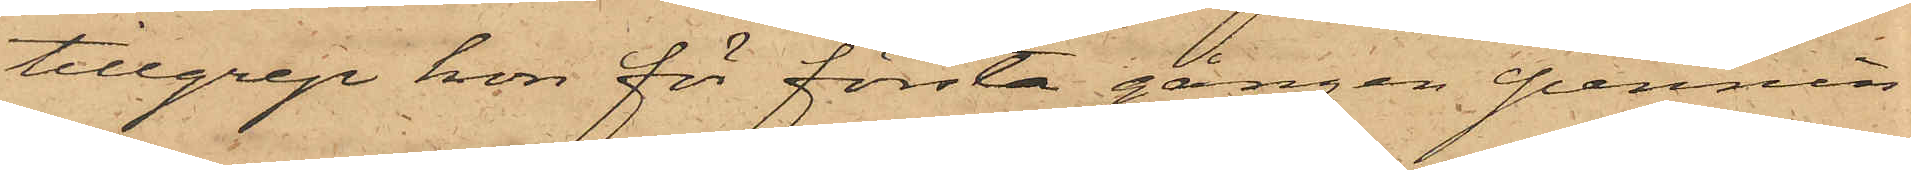tillgrep hon för första gången pennin¬
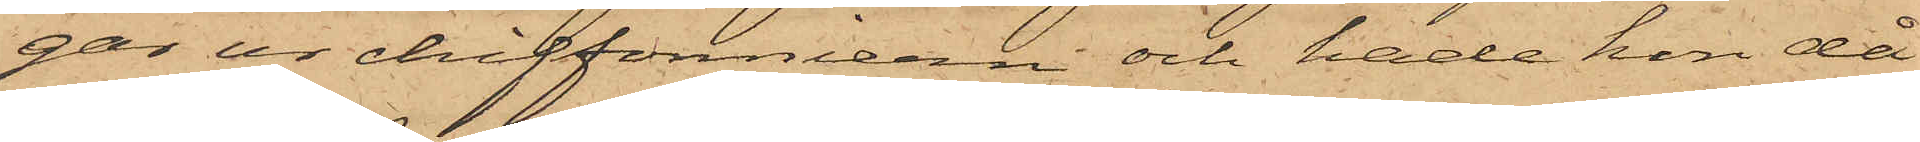gar ur chiffonniern och hade hon då
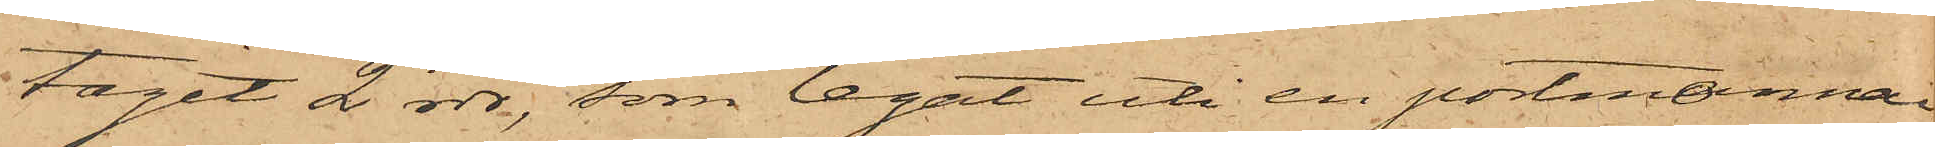tagit 2 rdr, som legat uti en portmonnai;
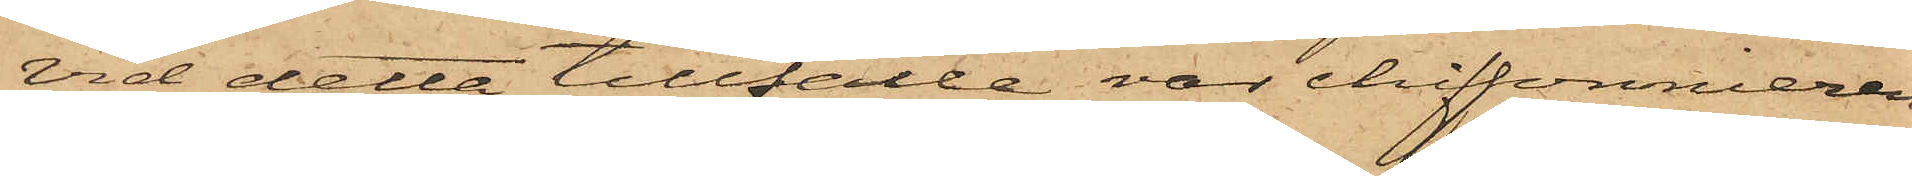vid detta tillfälle var chiffonnieren
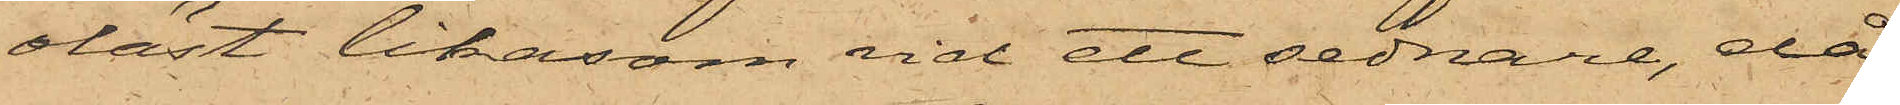olåst likasom vid ett sednare, då
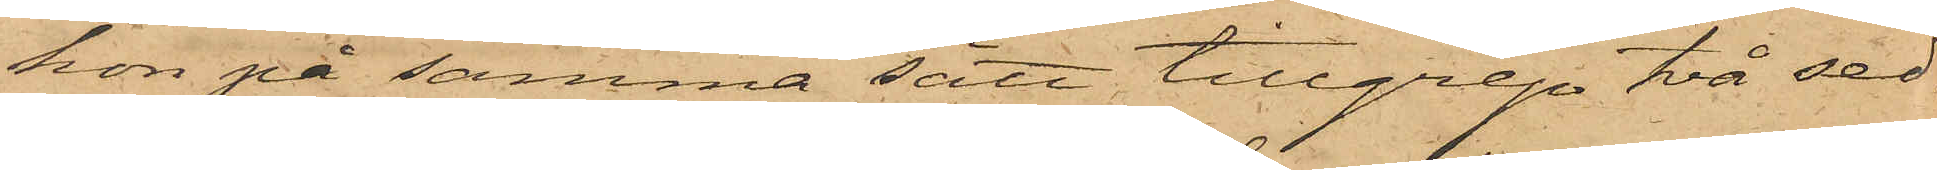hon på samma sätt tillgrep två sed¬
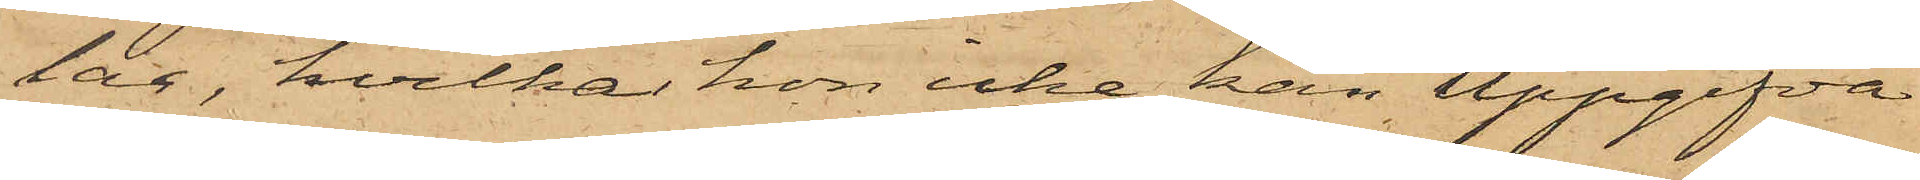lar, hvilka hon icke kan uppgifva
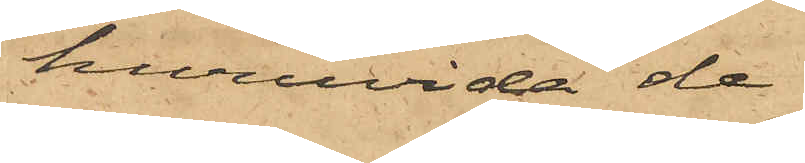huruvida de
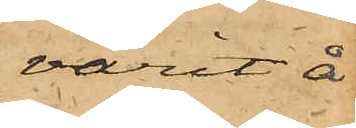varit å
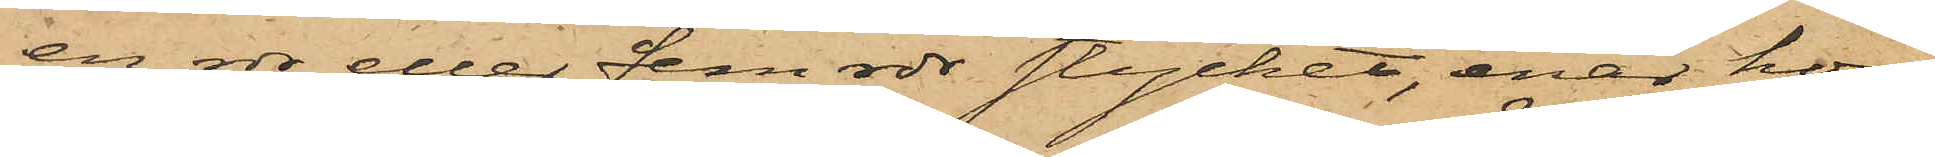en rdr eller fem rdr stycket, enär hon
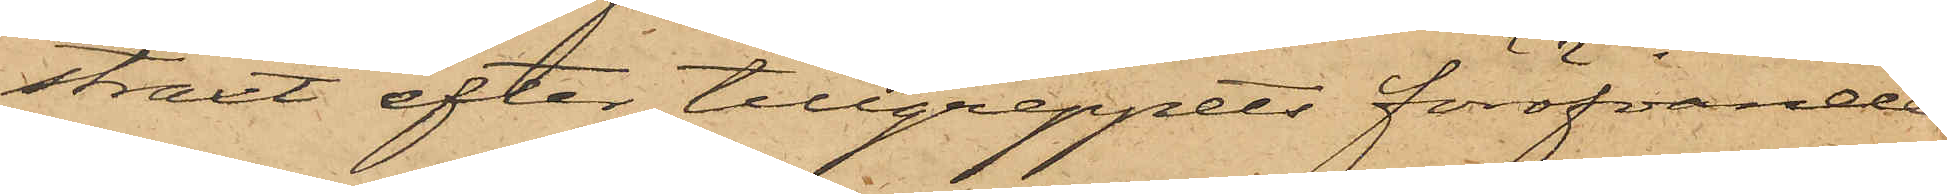straxt efter tillgreppets föröfvande
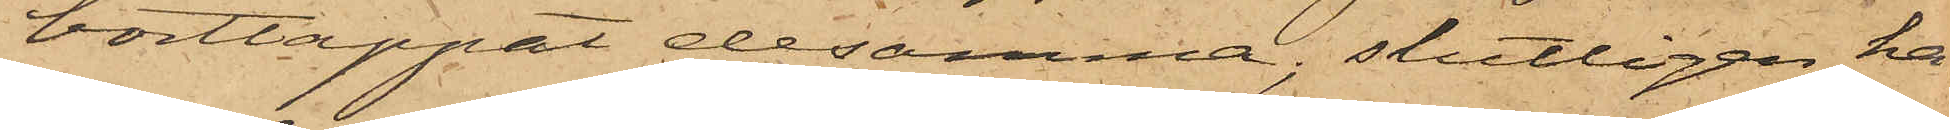borttappat desamma, slutligen ha¬
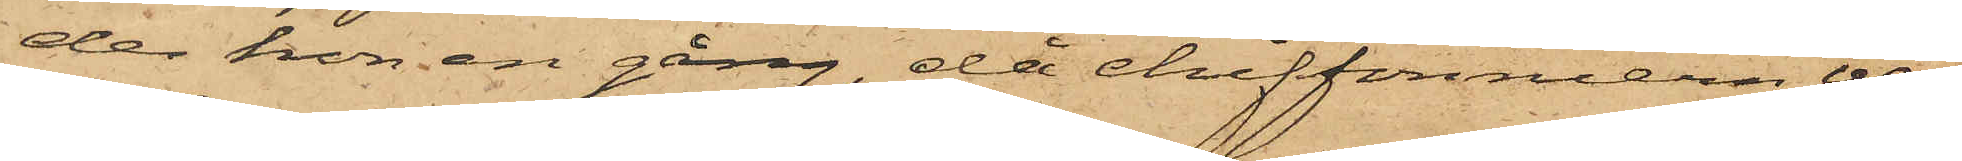de hon en gång, då chiffonniern var
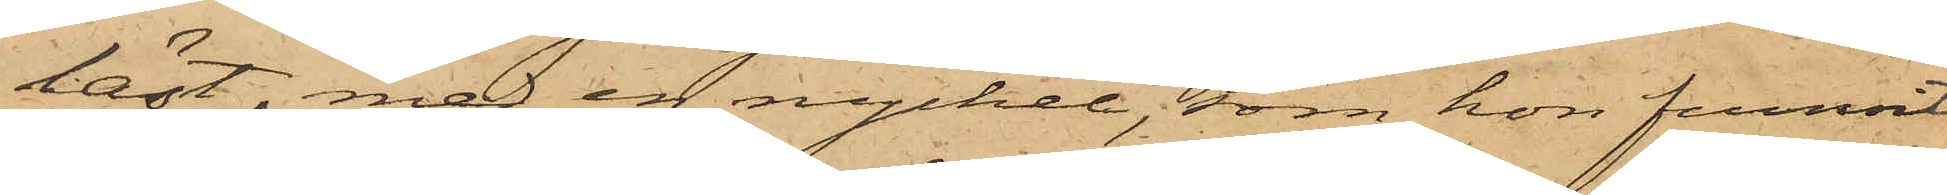låst, med en nyckel, som hon funnit
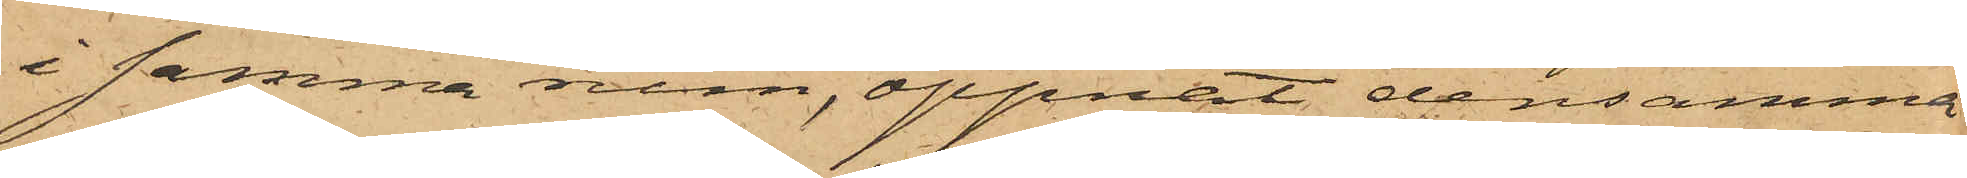i samma rum, öppnat densamma
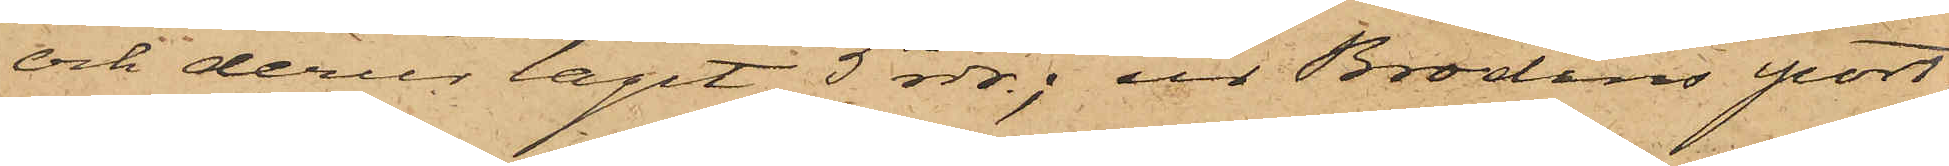och derur tagit 5 rdr; ur Brodins port¬
